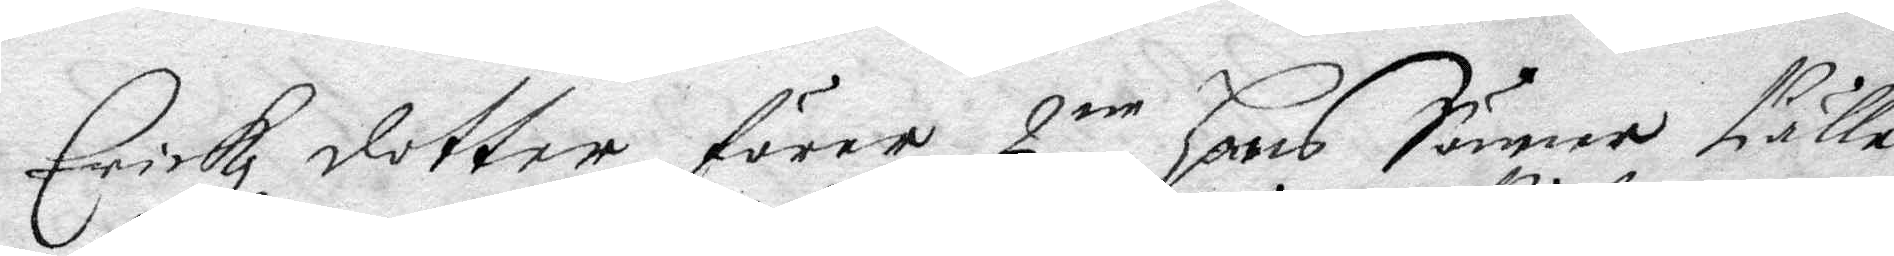Erickz dotter förer 2ne hans Söner Pälle
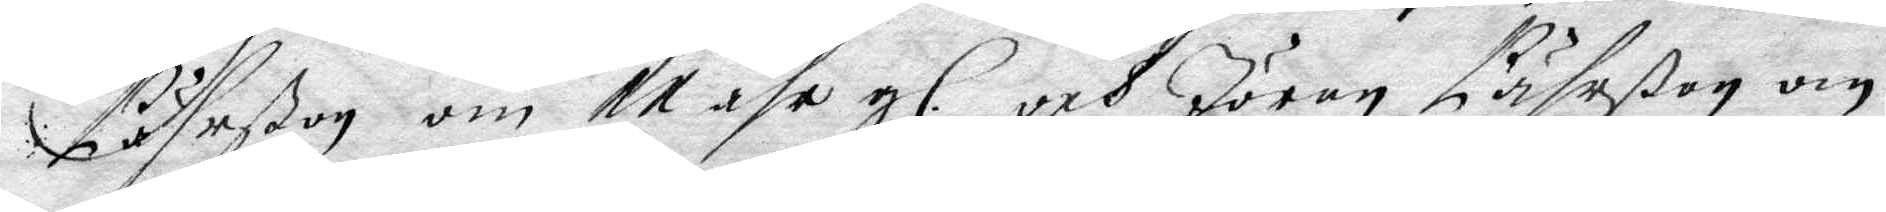Pährßon om 11 åhr gl. och Jöran Pährßon om
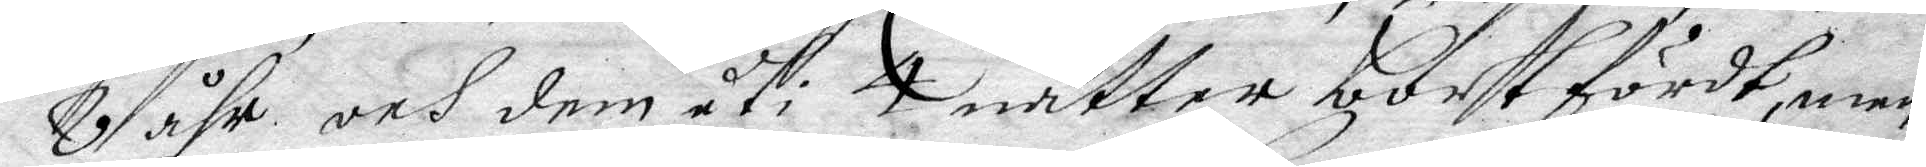8 åhr och dem uti 4 nätter bortfördt, men
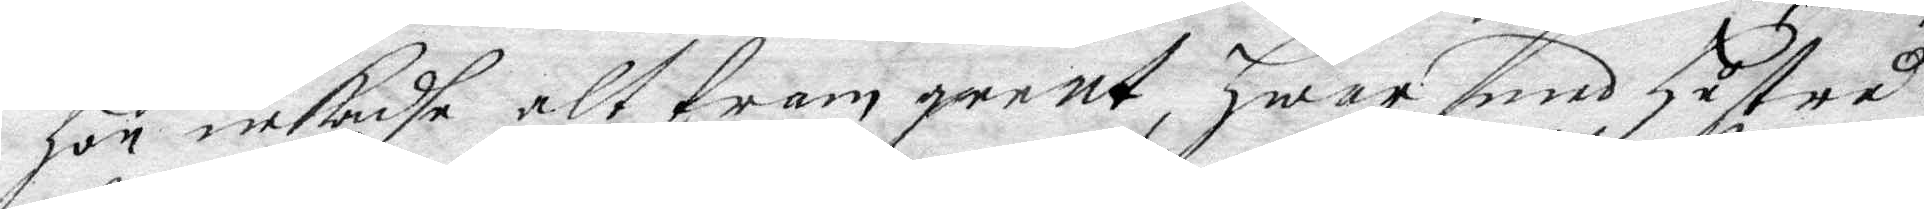hon nekade altfram geent, hwarmed hustru
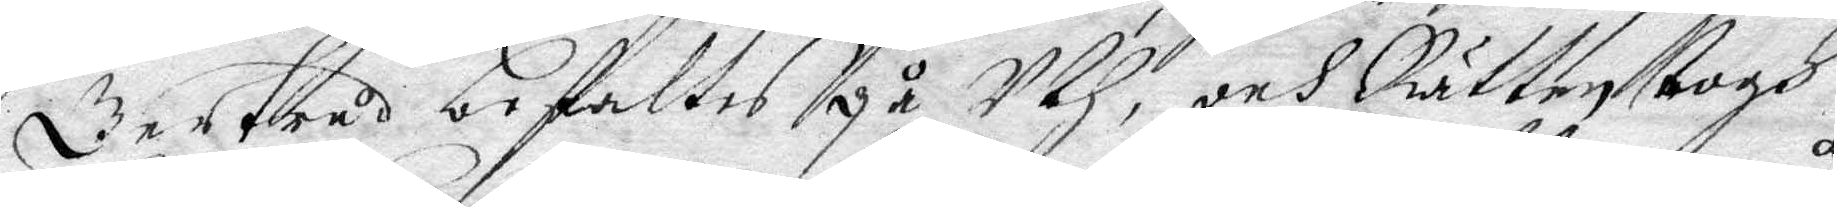Gertrud befalltes gå Uth, och Rätten togh
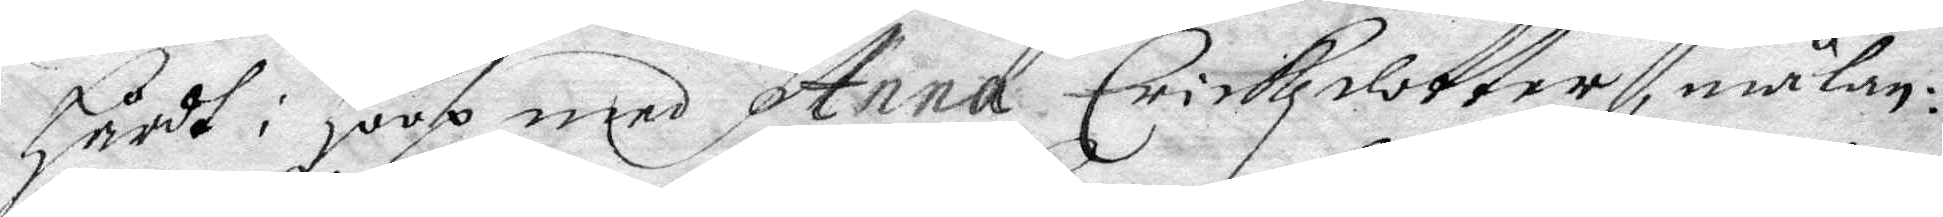hårdt i hoop med Anna Erickzdotter, målan¬
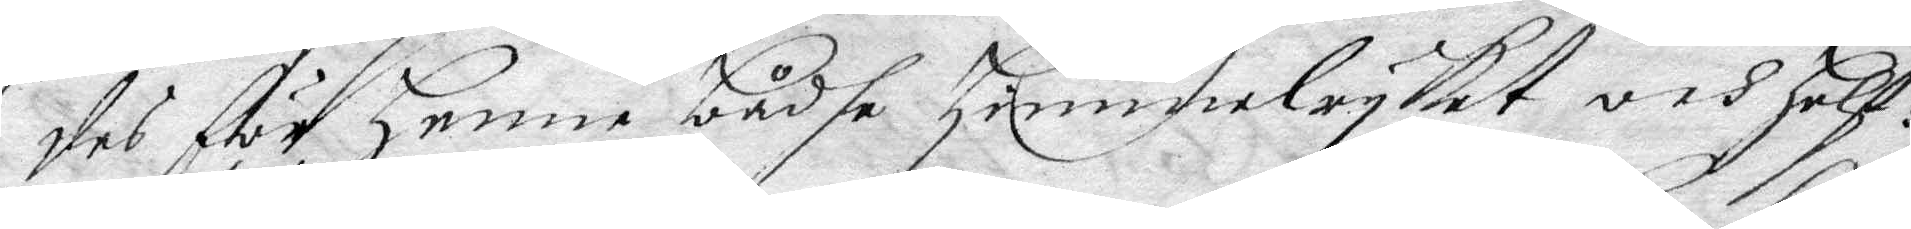des för henne bådhe himmelryket och helf¬
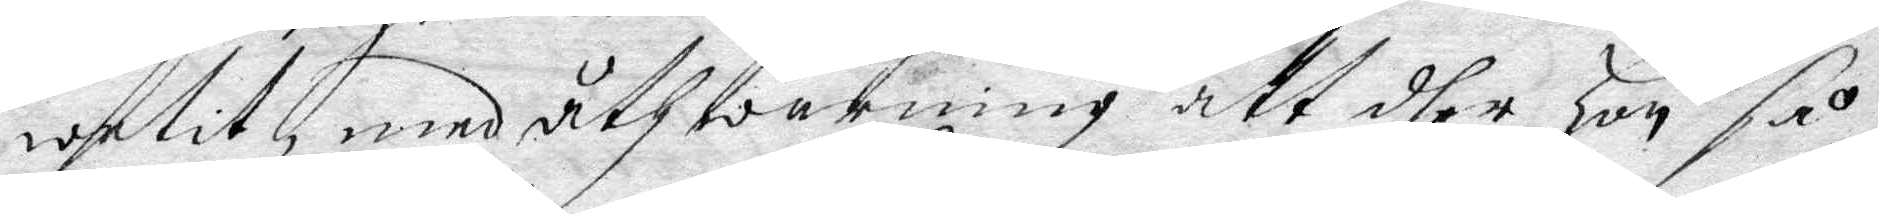wetit, med åthwarning att dhen hon så
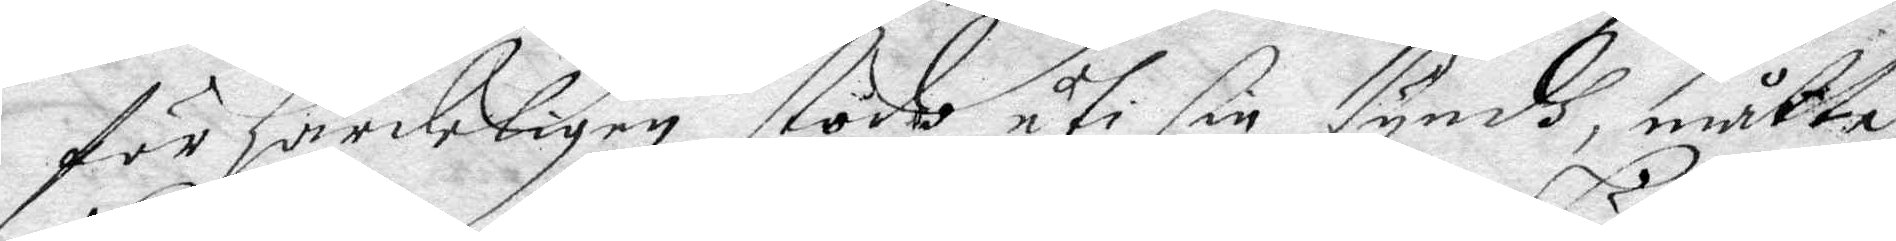för härdeligen stodo uti sin syndh, måtte
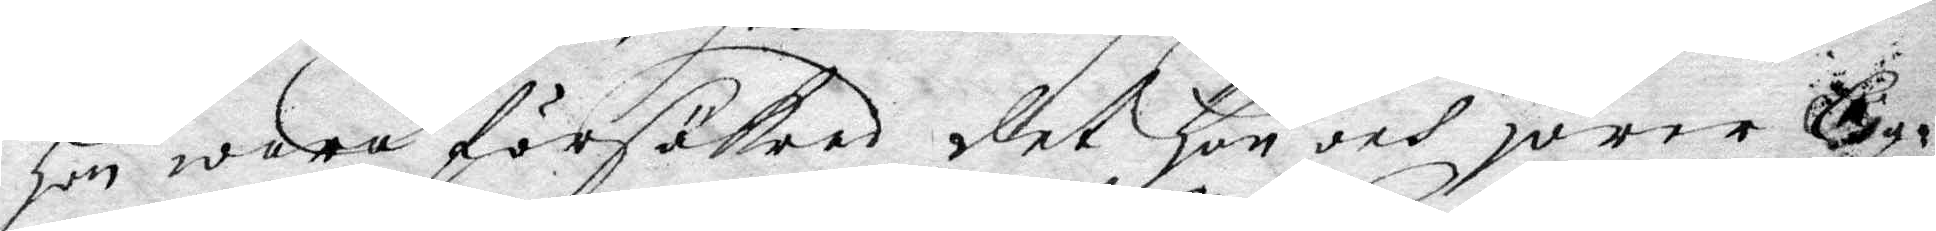hon wara försäkrad det hon och hörer C
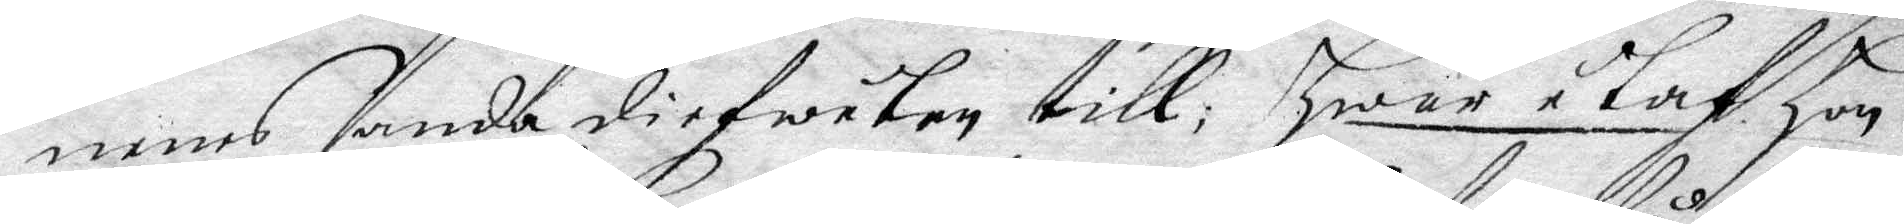nenes anda diefwulen till; hwar utaf hon
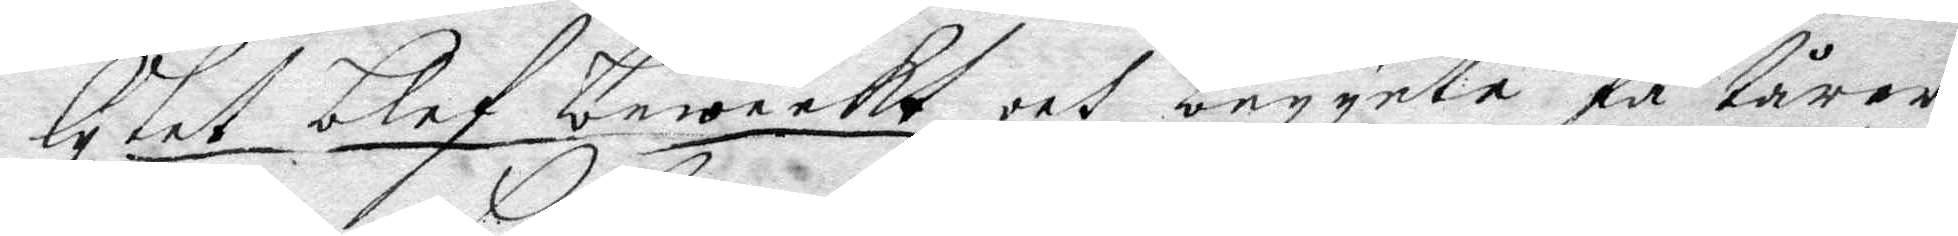lytet blef beweekt och begynte få tårar
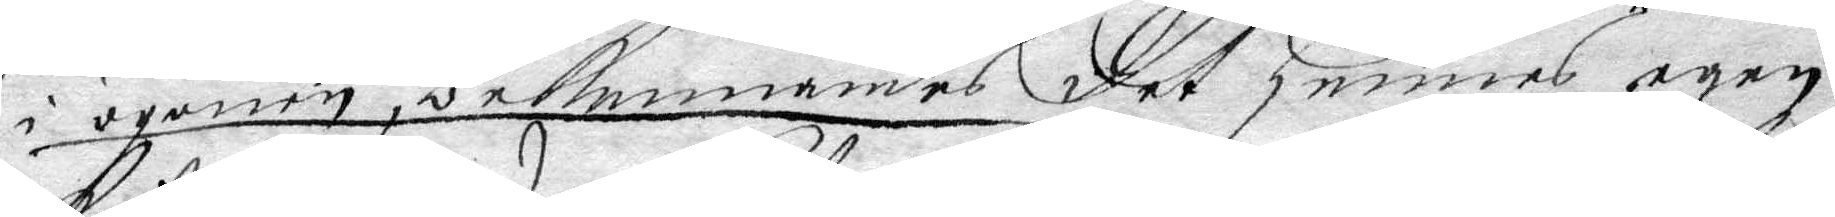i ögonen, bekennandes det hennes egen
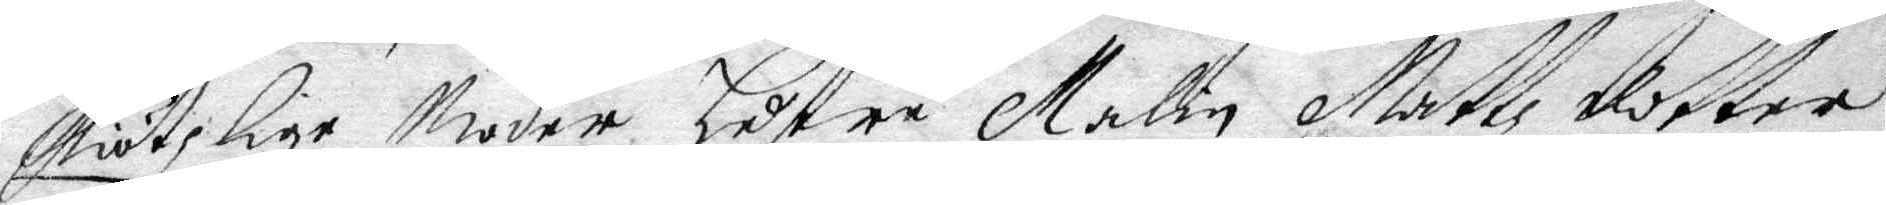kiötzlige Moder hustru Malin Mattz dotter
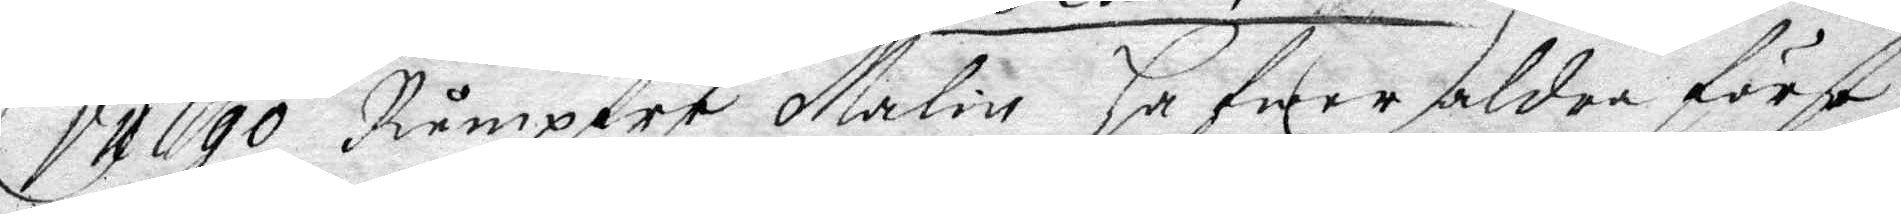vulgo Rumpare Malin hafwer aldra först
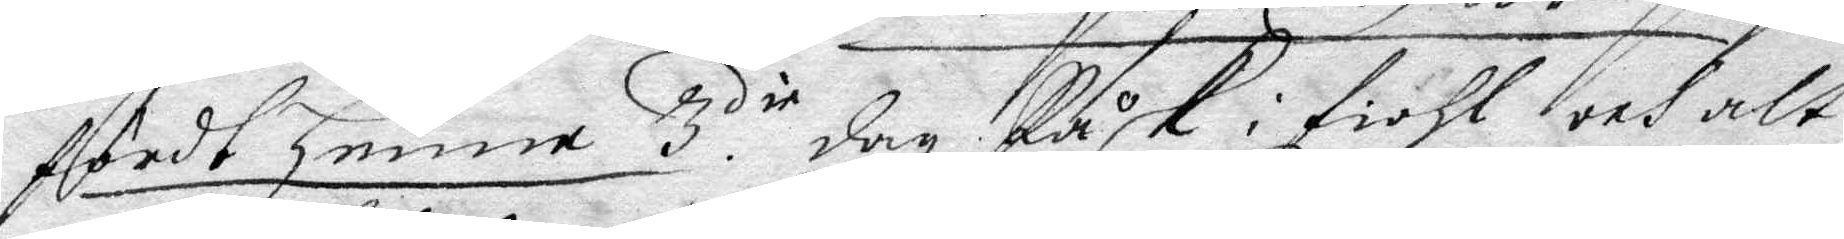fördt henne 3die dag Påsk i fiohl och alt
